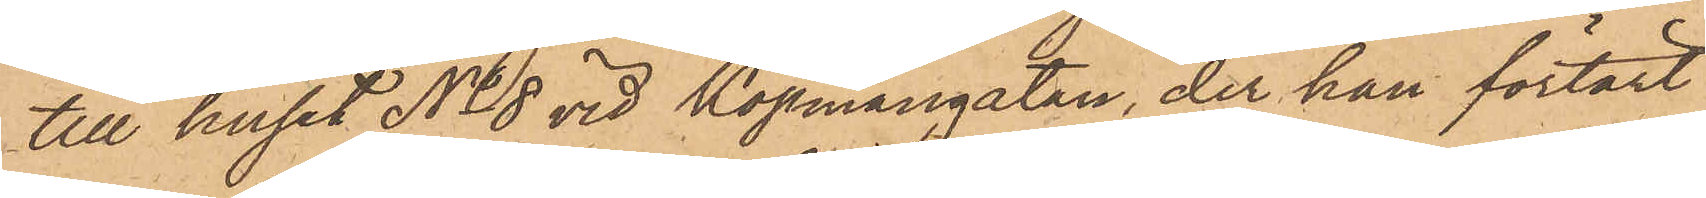till huset No 8 vid Köpmangatan, der han förtärt
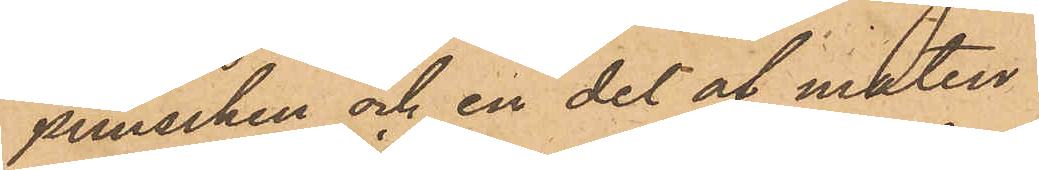punschen och en del af maten.
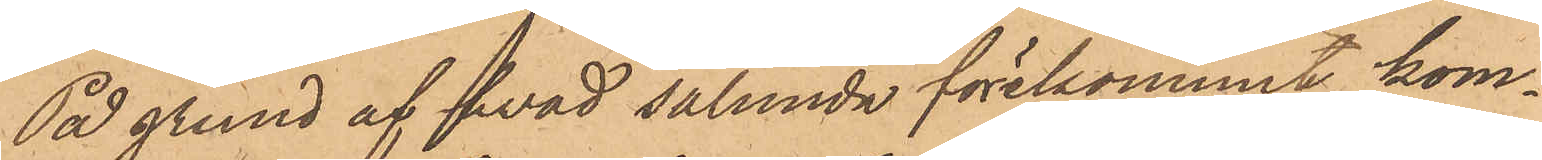På grund af hvad sålunda förekommit, kom¬
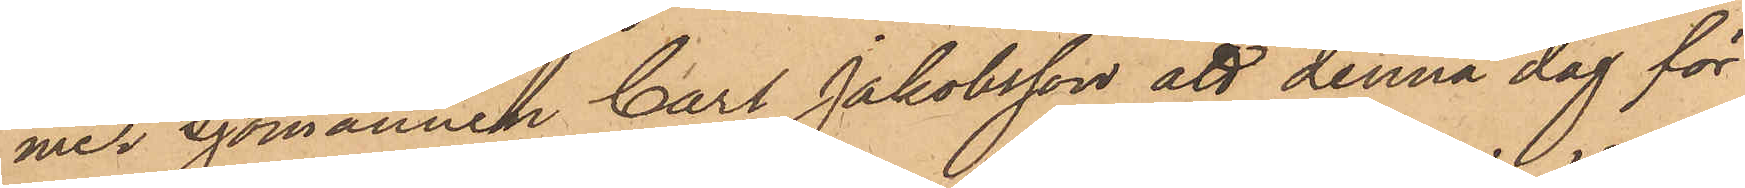mer Sjömannen Carl Jakobsson att denna dag för
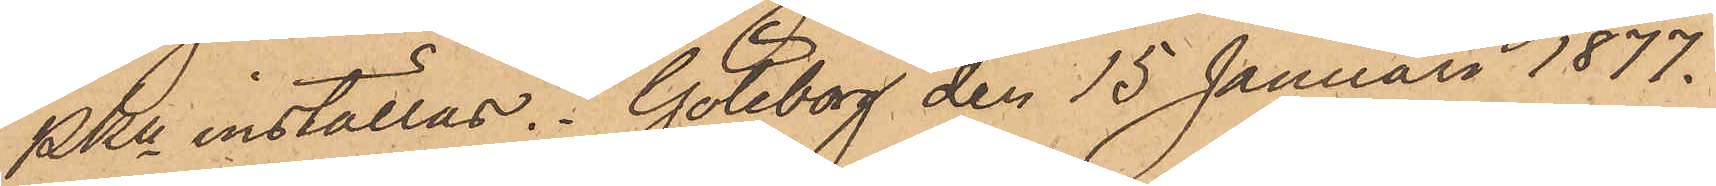PKn inställas. Göteborg den 15 Januari 1877.
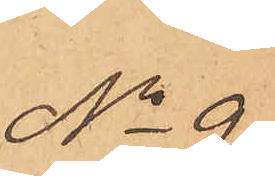No 9
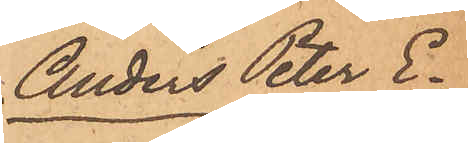Anders Peter E¬
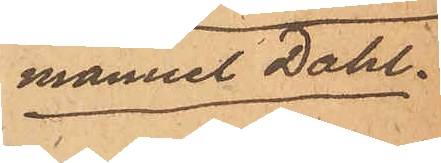manuel Dahl.
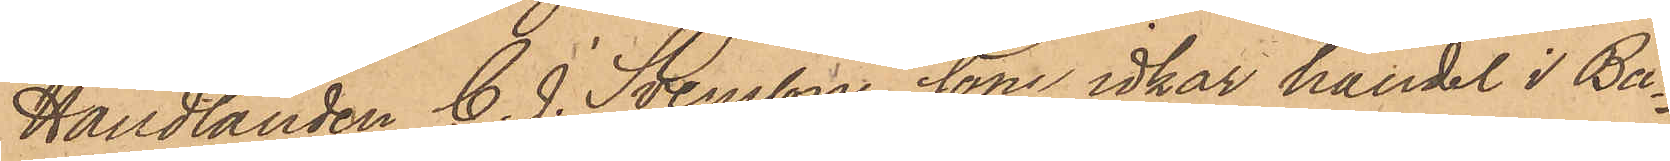Handlanden C. J. Svensson, som idkar handel i Ba¬
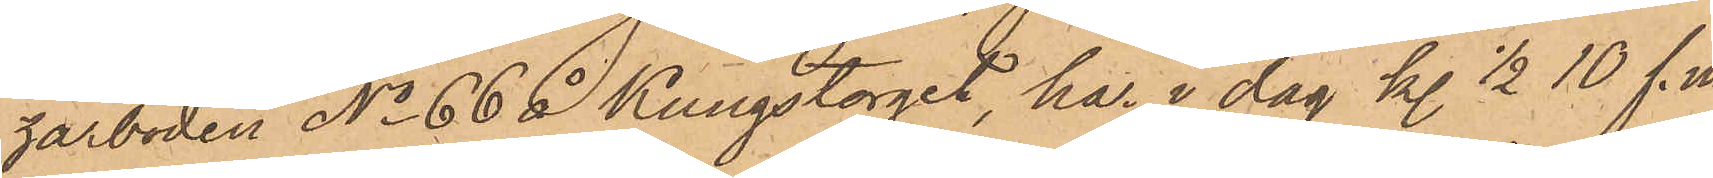zarboden No 66 å Kungstorget, har i dag kl. 1/2 10 f. m.
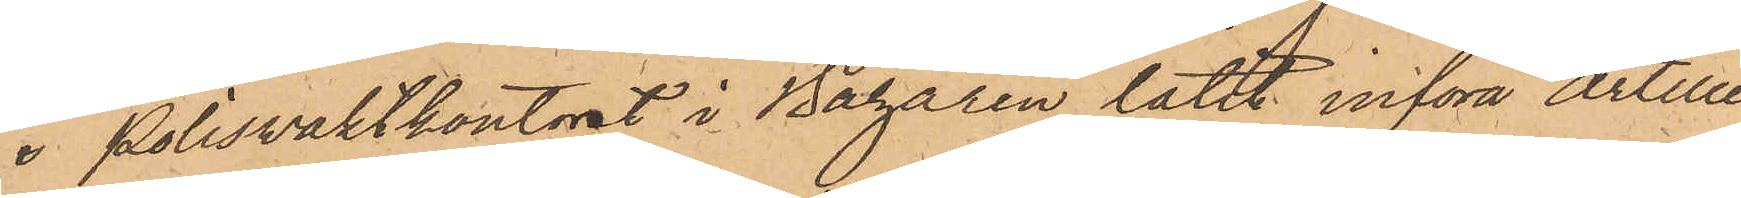i Polisvaktkontoret i Bazaren låtit införa artille-
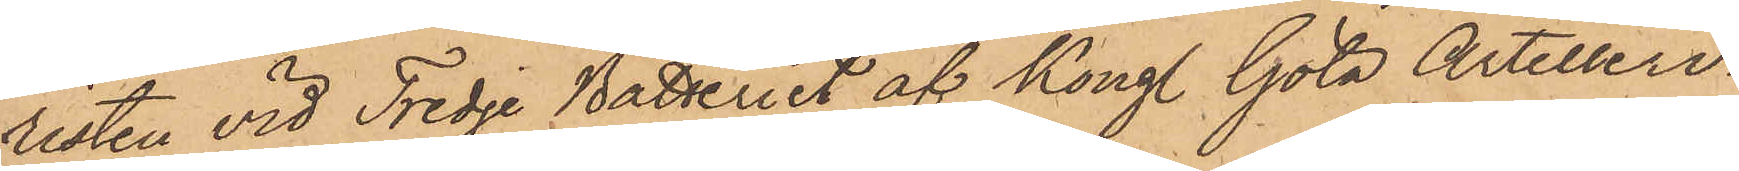risten vid Tredje Batteriet af Kongl. Göta Artilleri¬
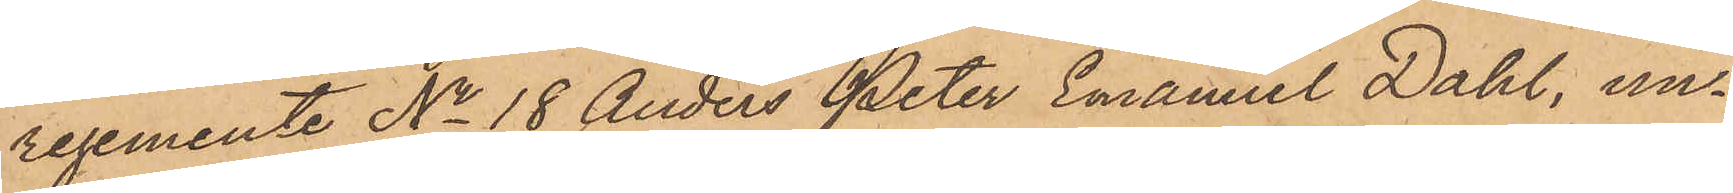regemente No 18 Anders Peter Emanuel Dahl, un¬
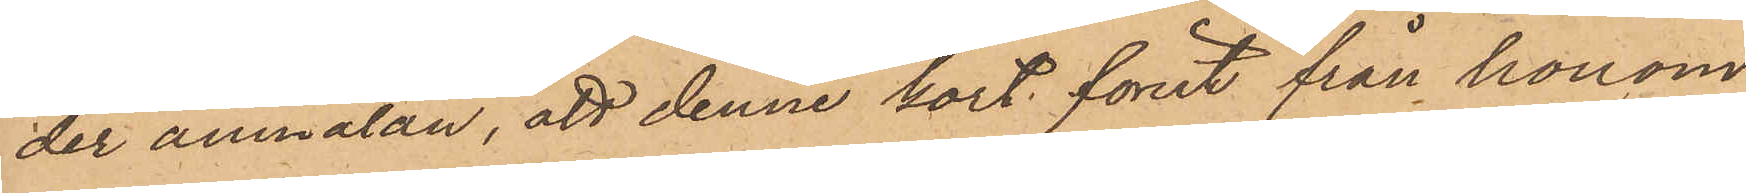der anmälan, att denne kort förut från honom
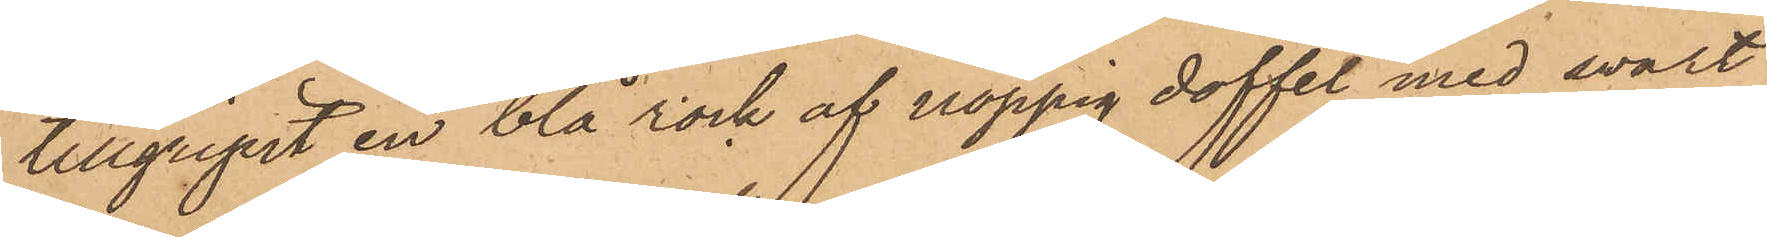tillgripit en blå rock af noppig doffel med swart
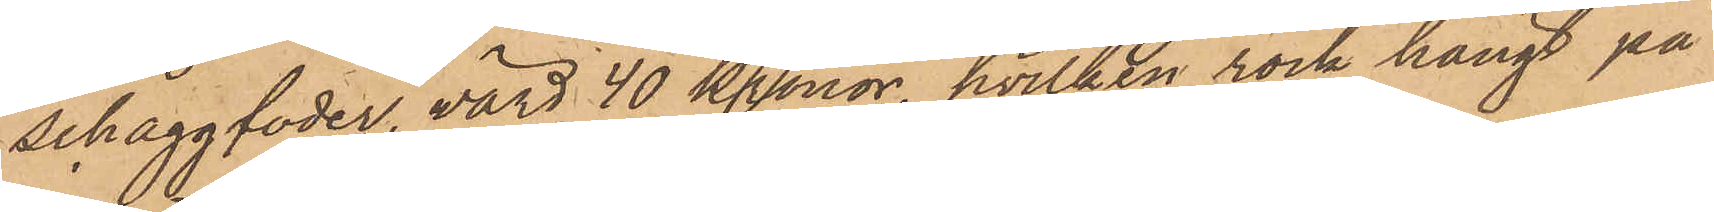schaggfoder, värd 40 Kronor, hvilken rock hängt på
